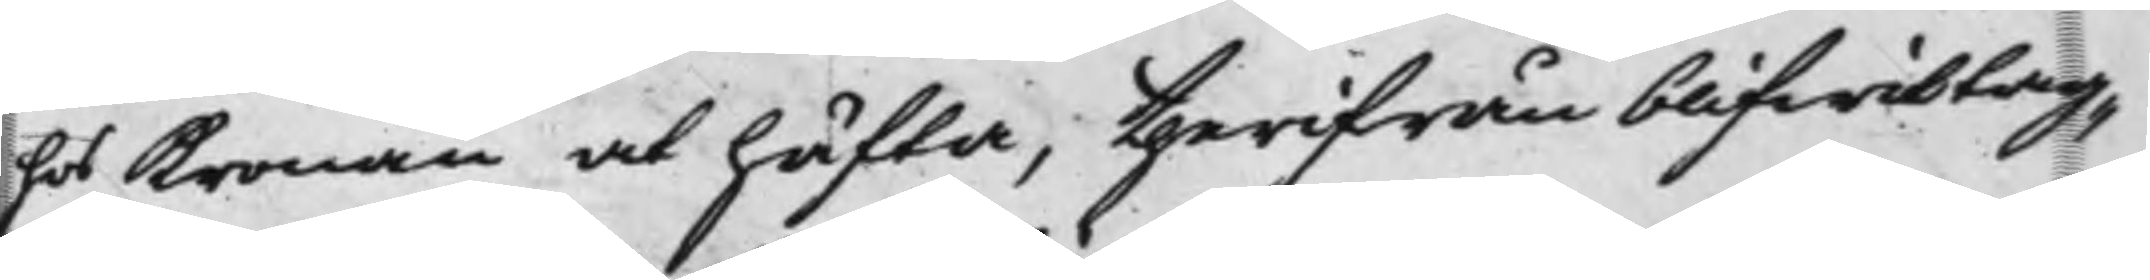hos Kronan at häfta, therifrån blifwit tag
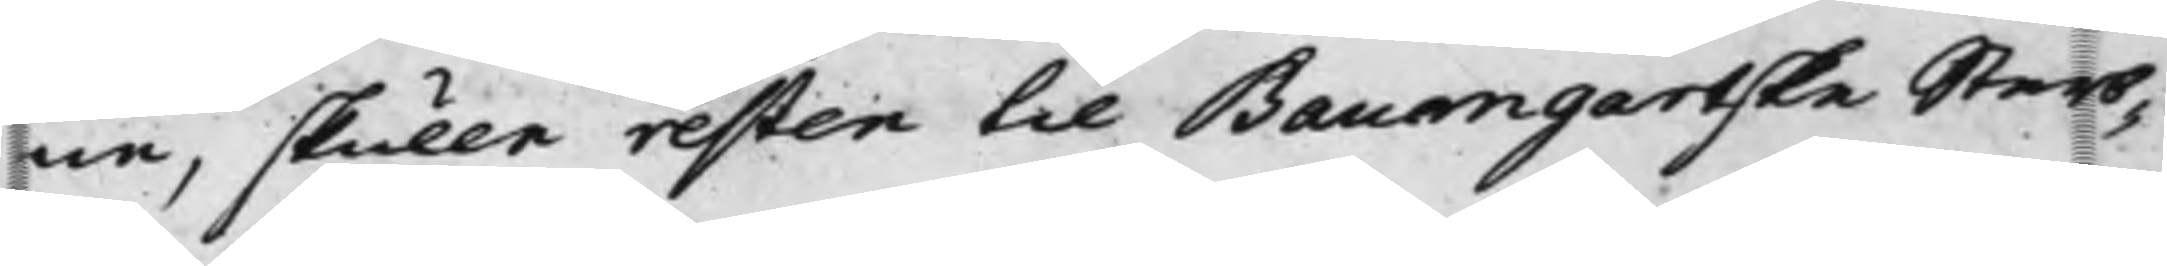ne, skulle resten till Baumgartske Sterb¬
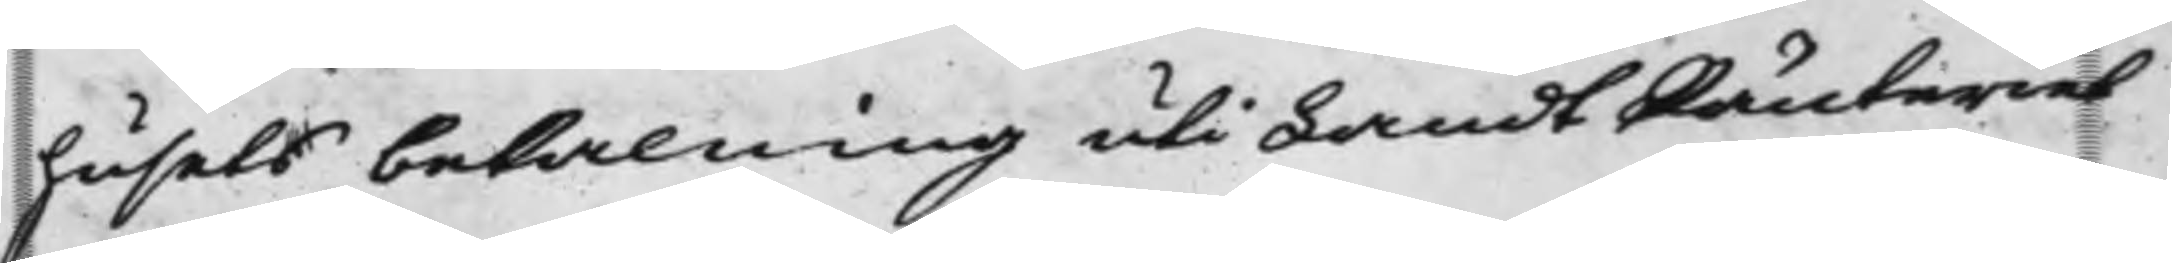husets betalning uti LandtRänteriet
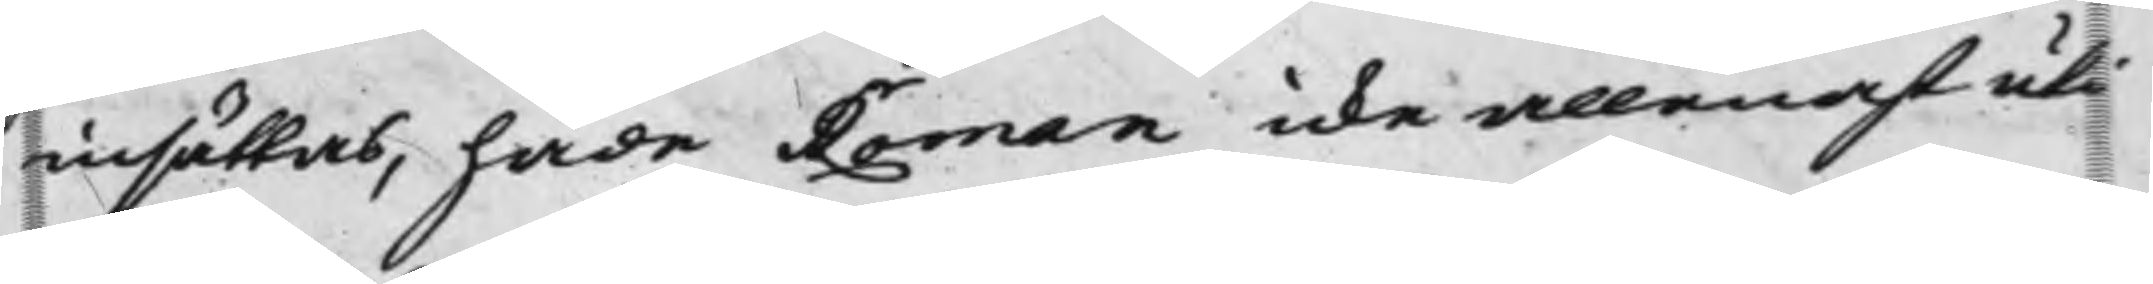insättas, hade Roman icke allenast uti
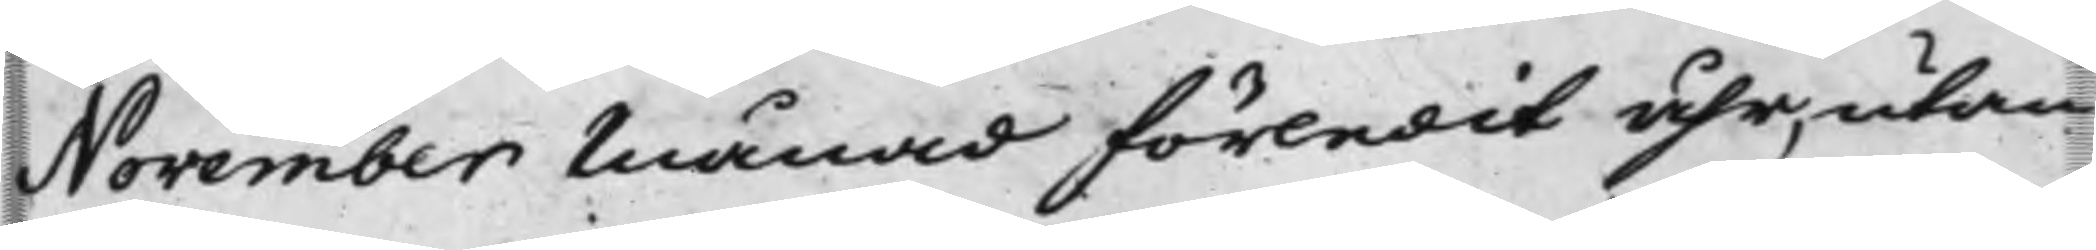November Månad förledit åhr, utan
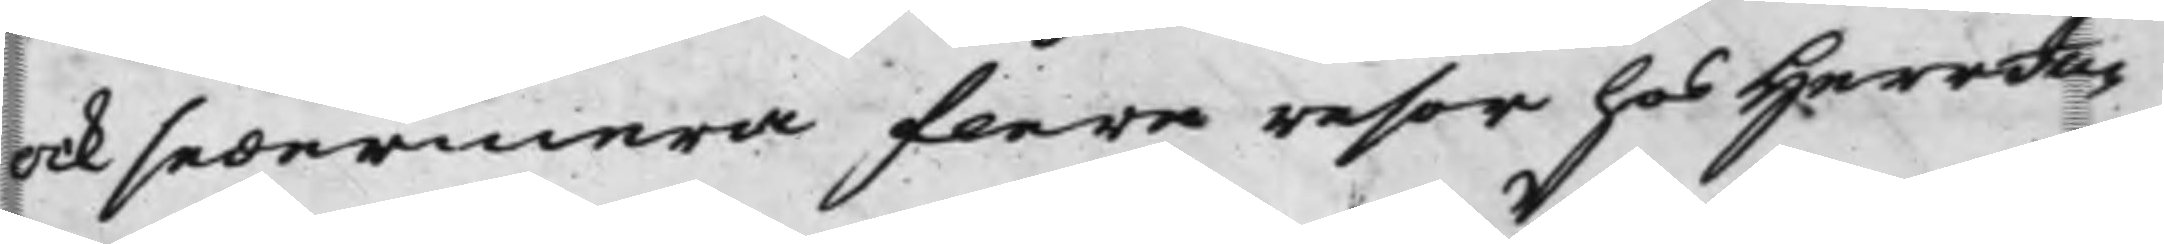ock sedermera flere resor hos Herr Ju¬
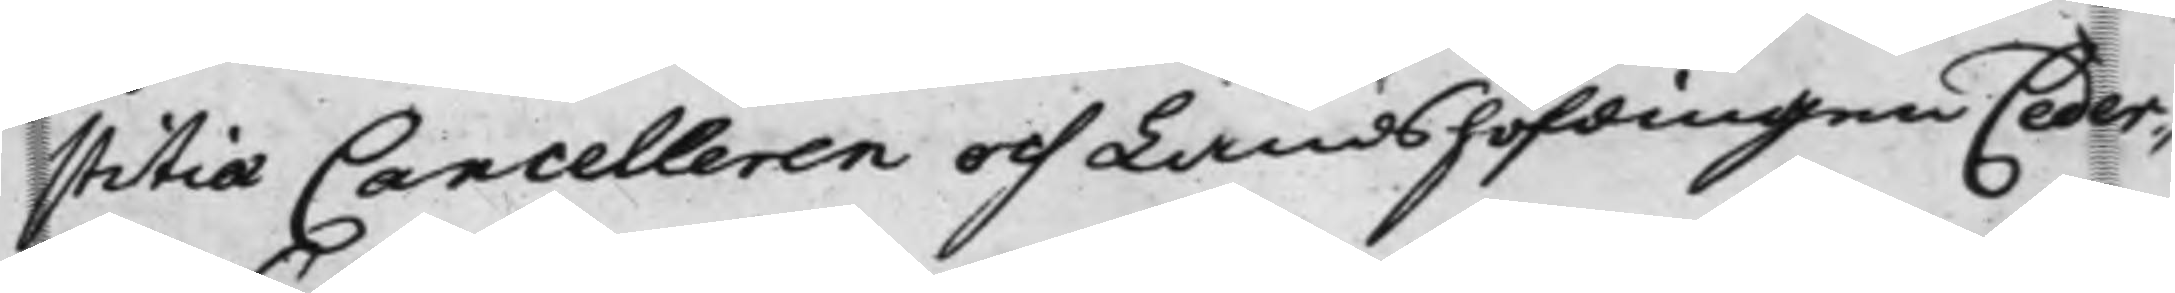stitiæ Cancelleren och Landshöfdingen Ceder¬
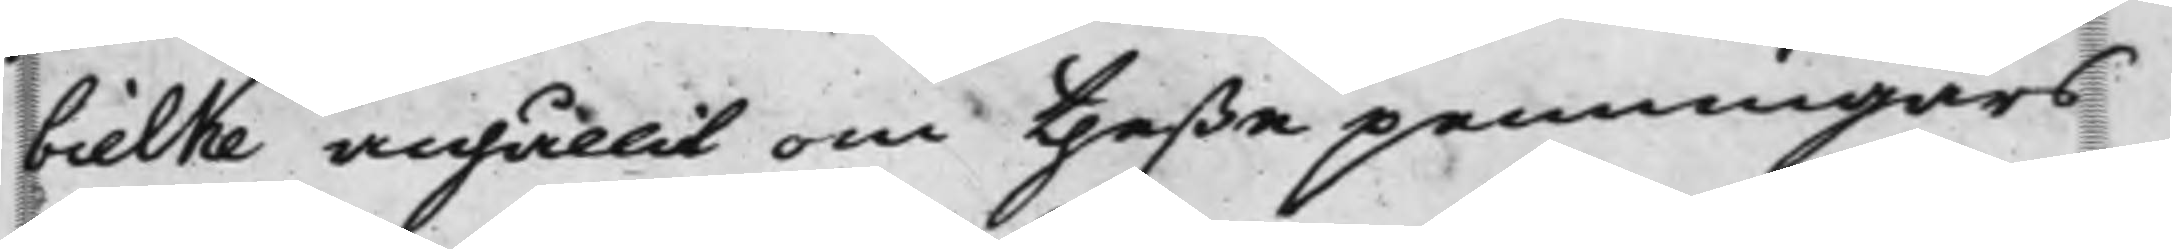bielke anhållit om theße penningars
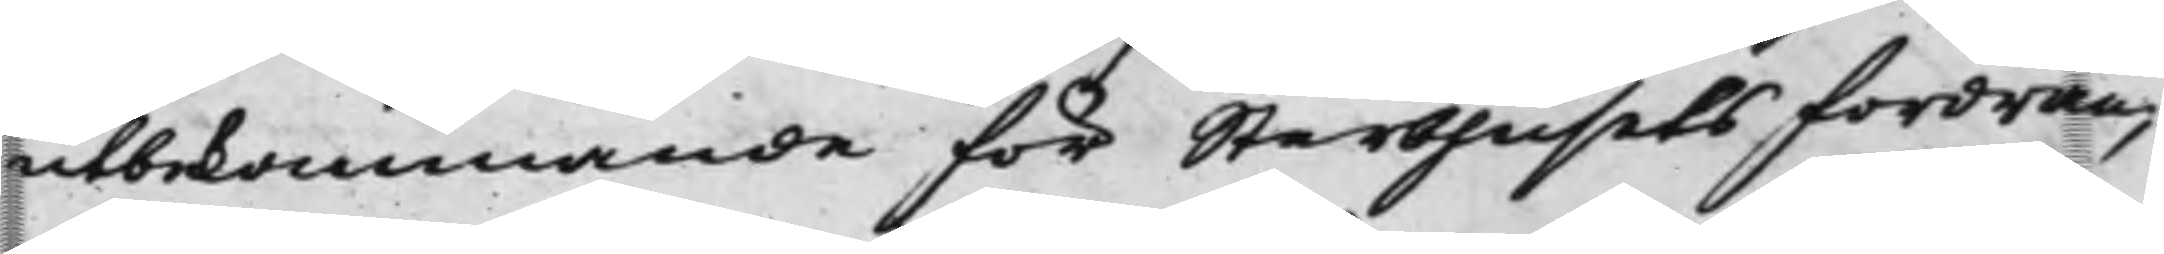utbekommande för Sterbhusets fordran,
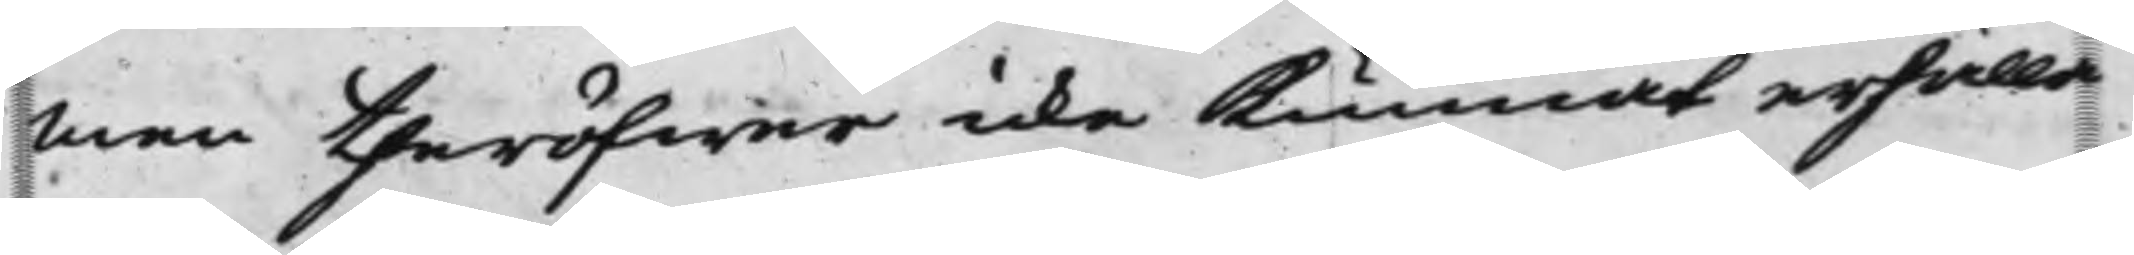men theröfwer icke kunnat erhålla
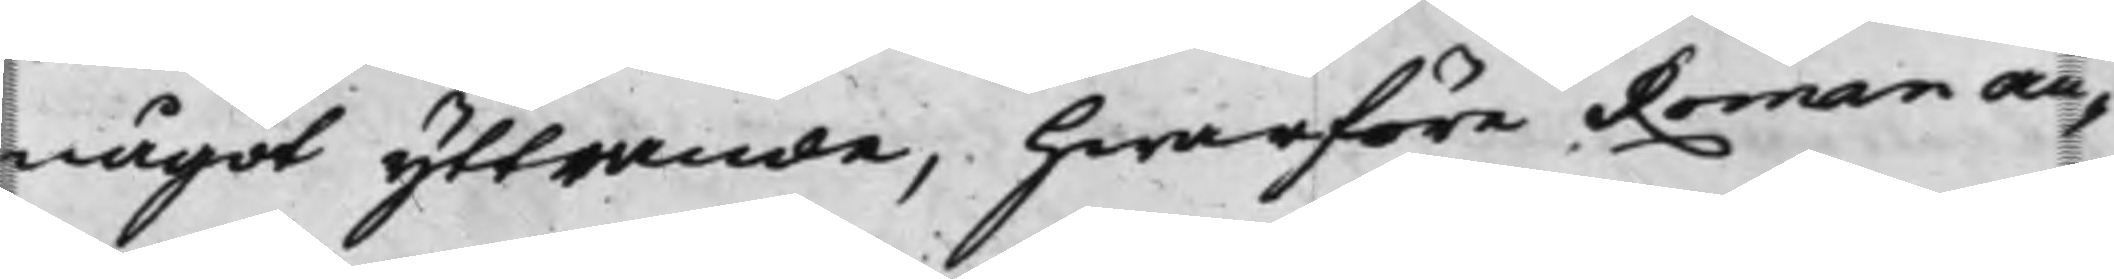något yttrande, hwarföre Roman an¬
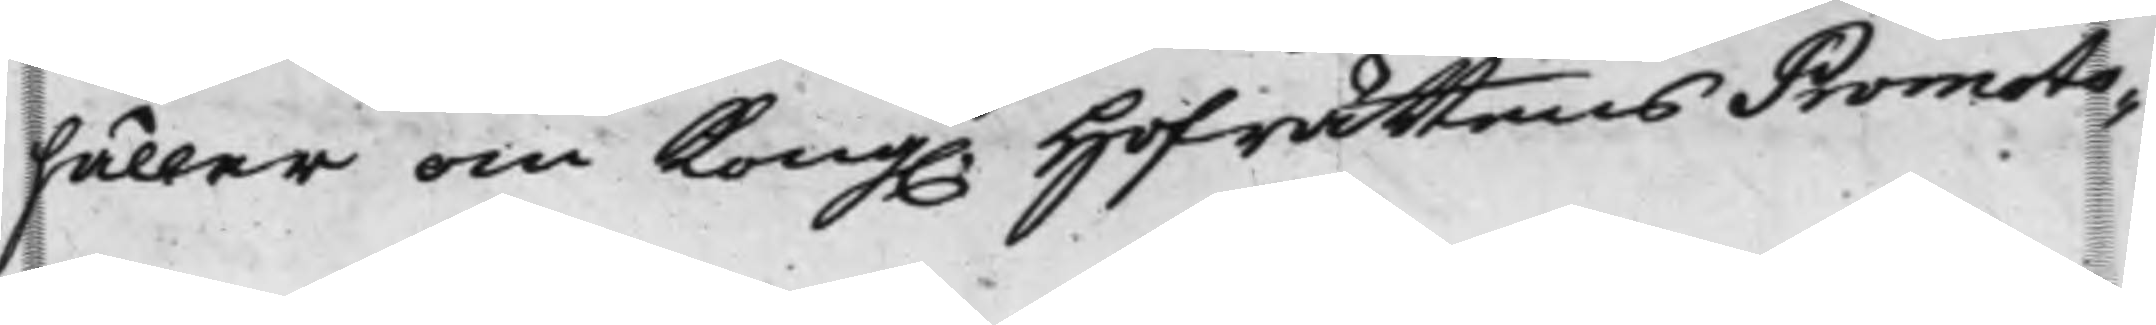håller om Kong. Hofrättens Promoto¬
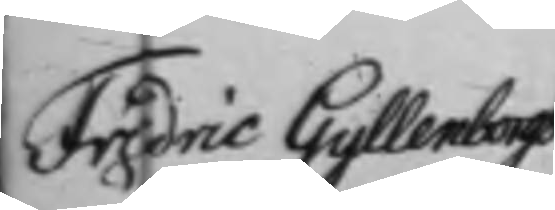Fredric Gyllenborgs
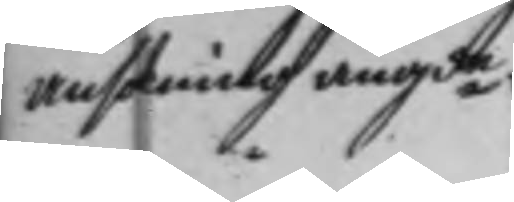ansökning angde.
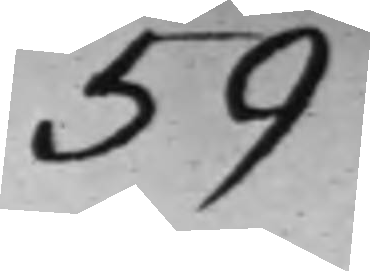59
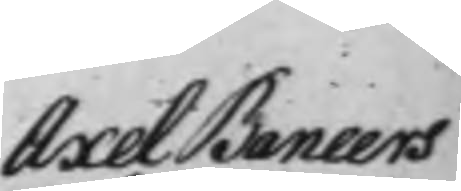Axel Baneers
